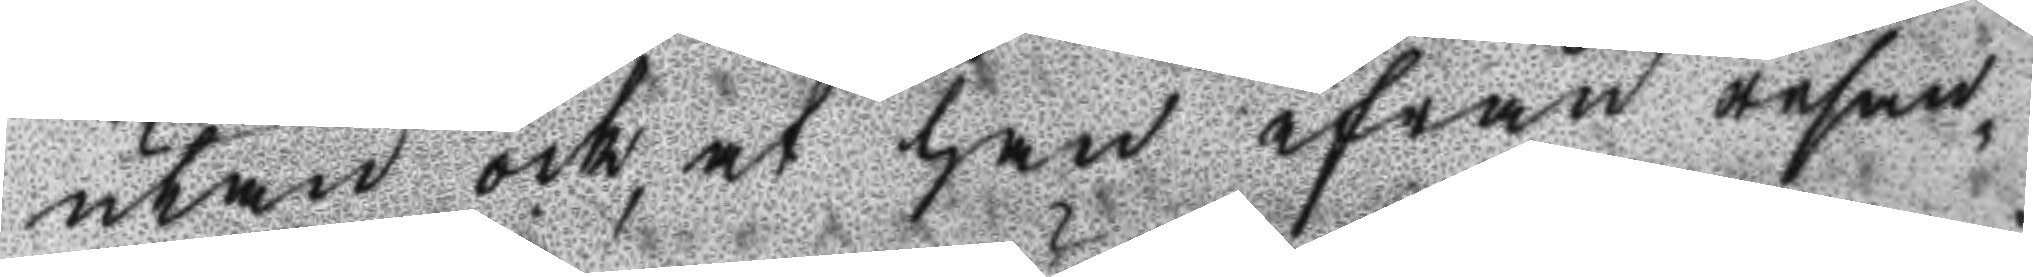utan och, at han ifrån resan¬
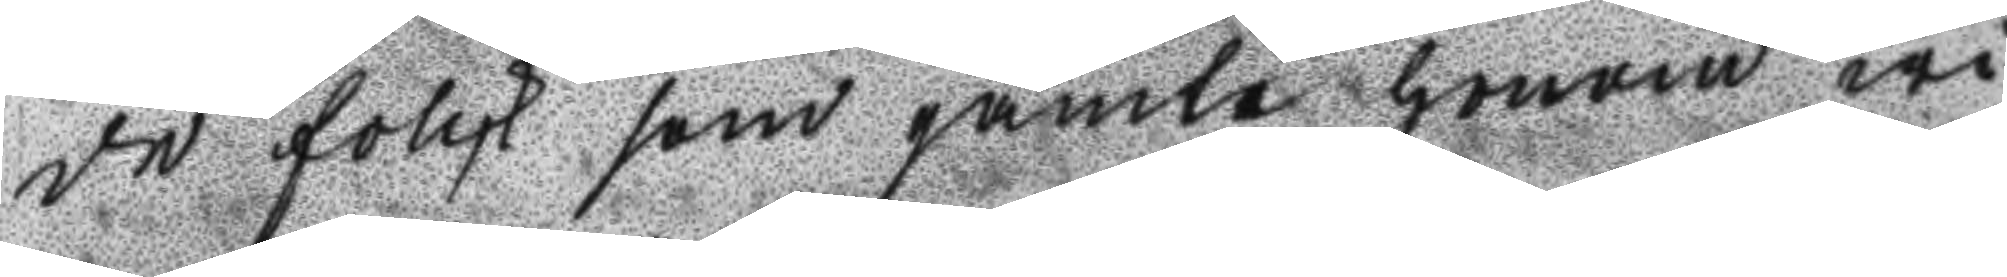de folck som jämte honom wi¬
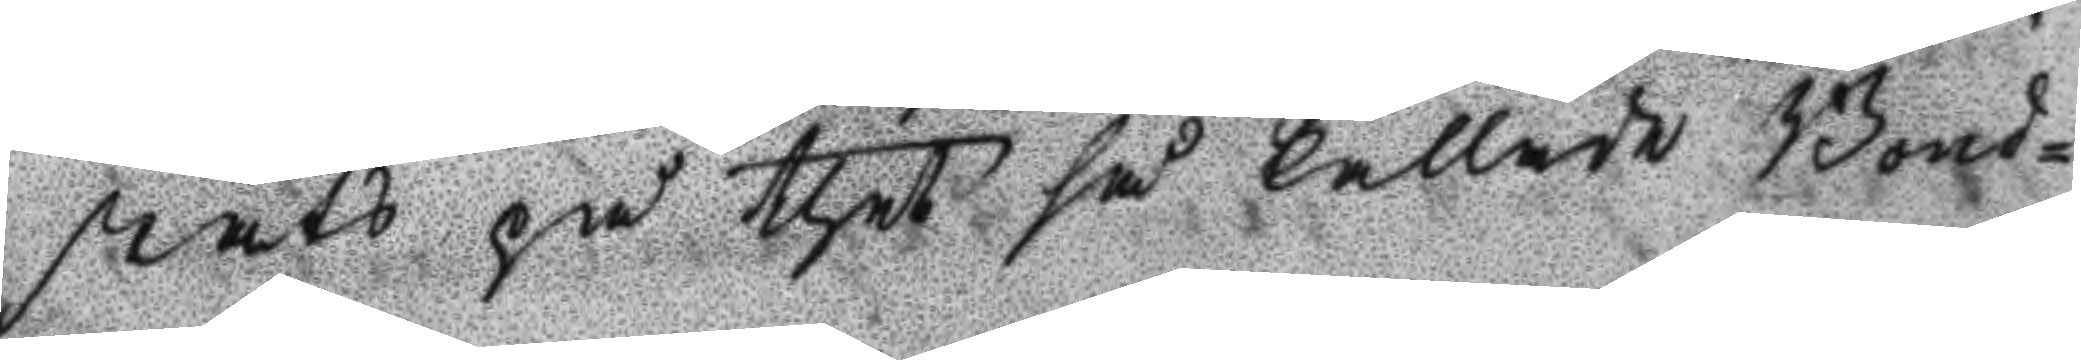stats på thet så kallade Bond¬
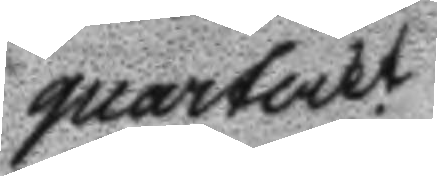quarterkt
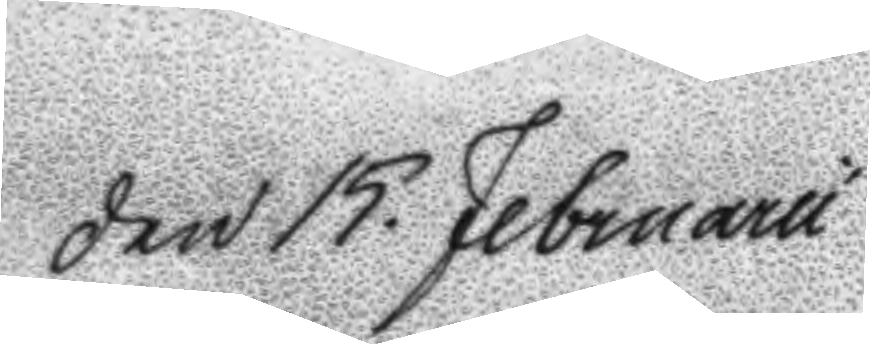Den 15. Februarii
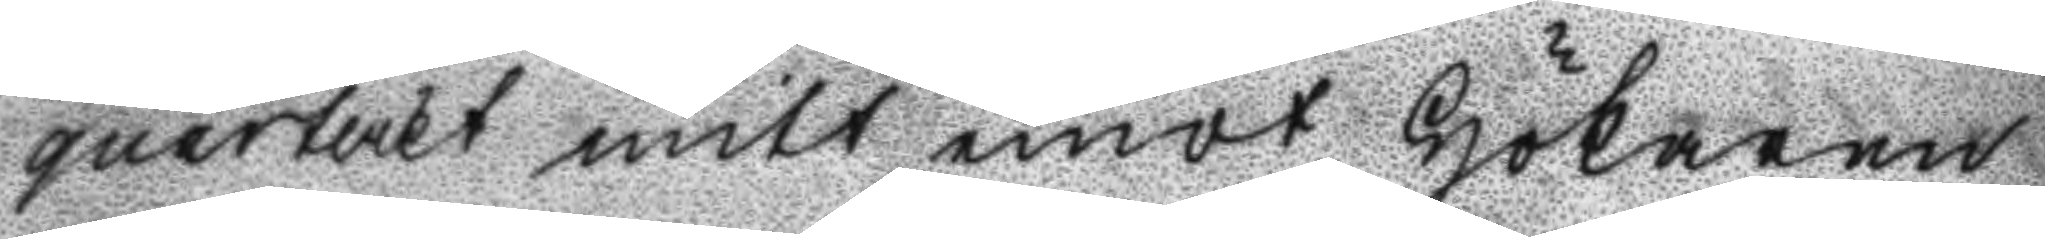querterkt mitt emot Hökaren
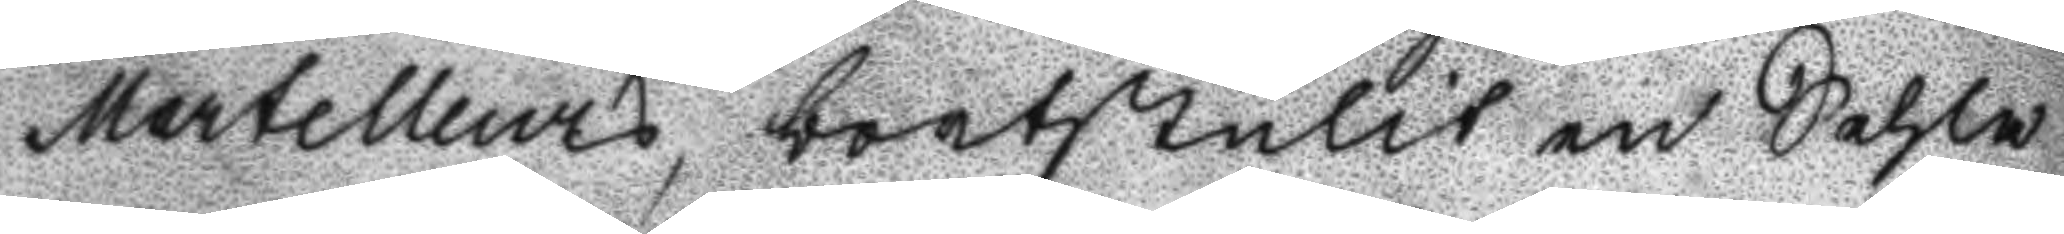Martelleurs, bortstulit en Sehla
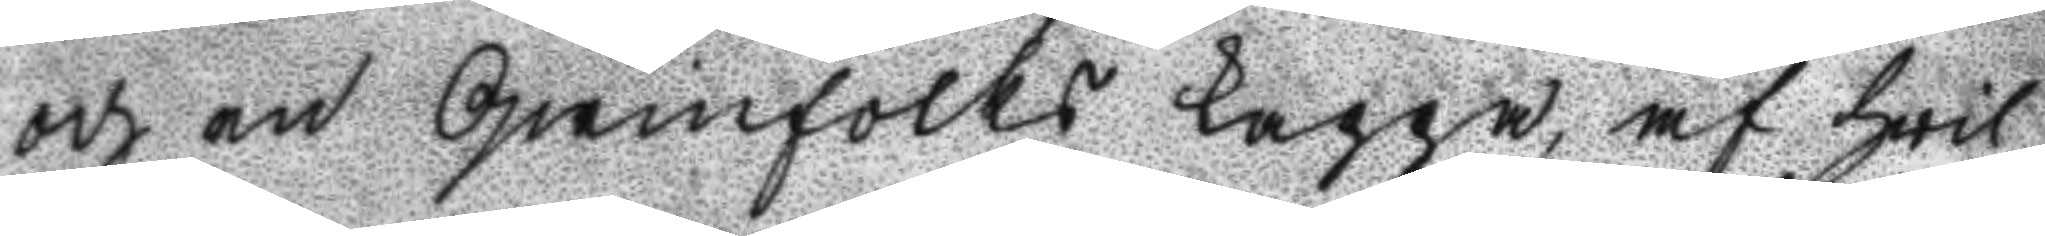och en Qwinfolks Kappa, af hvil¬
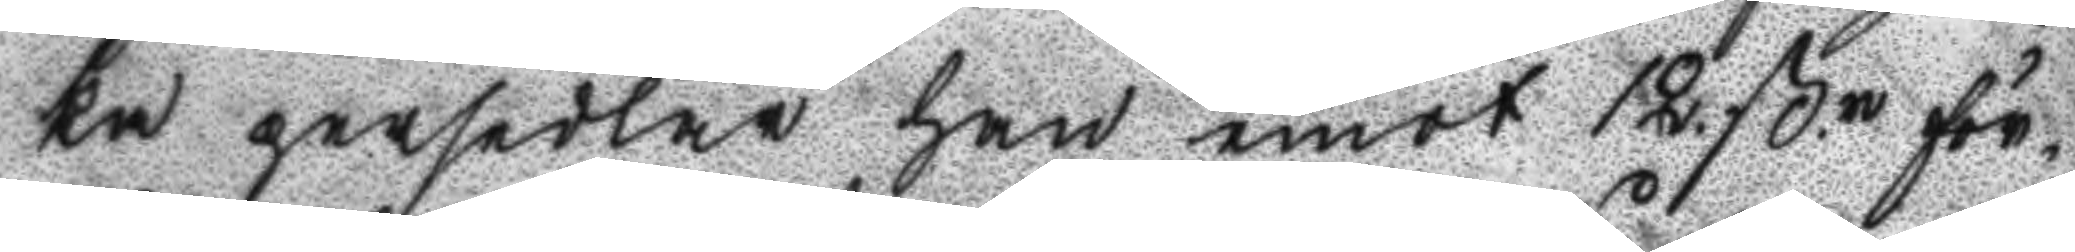ka persedlar han emot 12. ß.r för¬
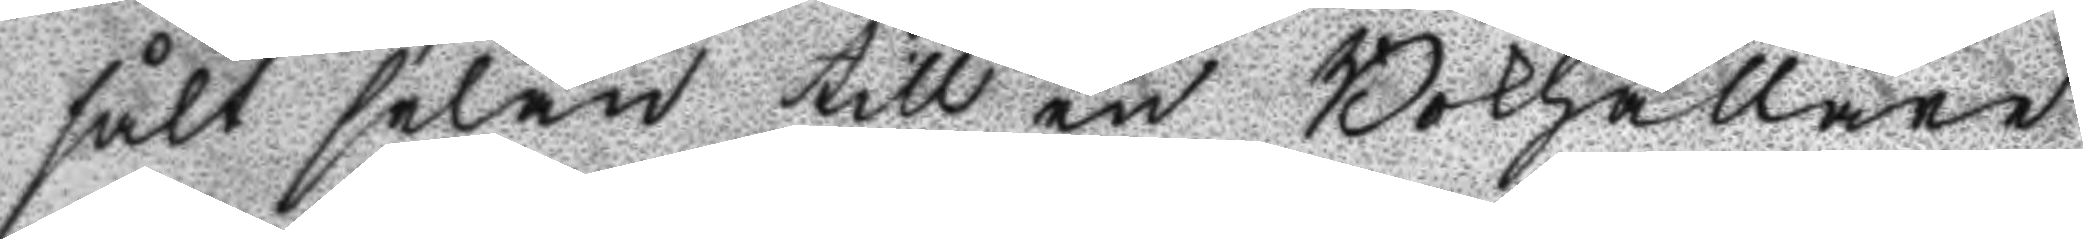sålt selan till en Bokhpllare 
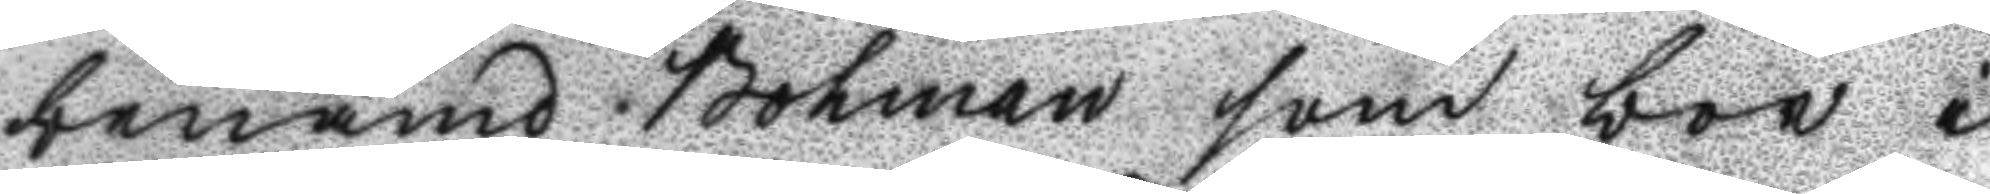benämd Bohman som bor i
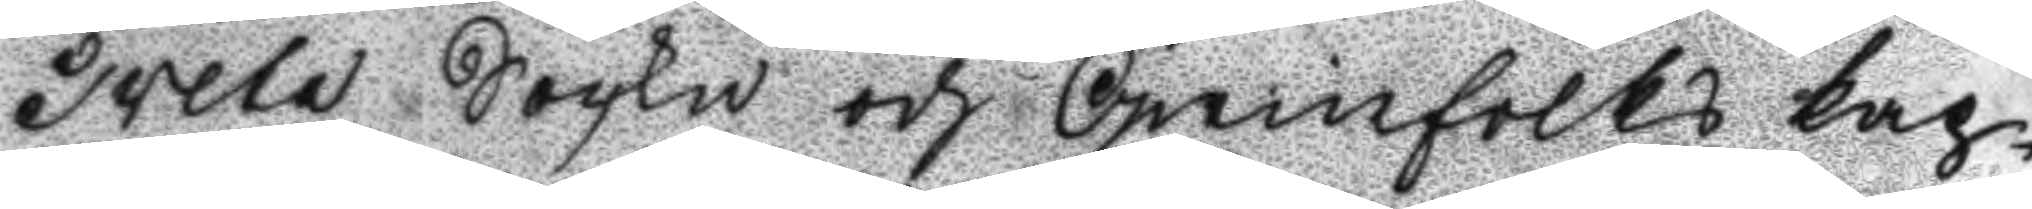Tveta Sockn och Qwinfolks kap¬
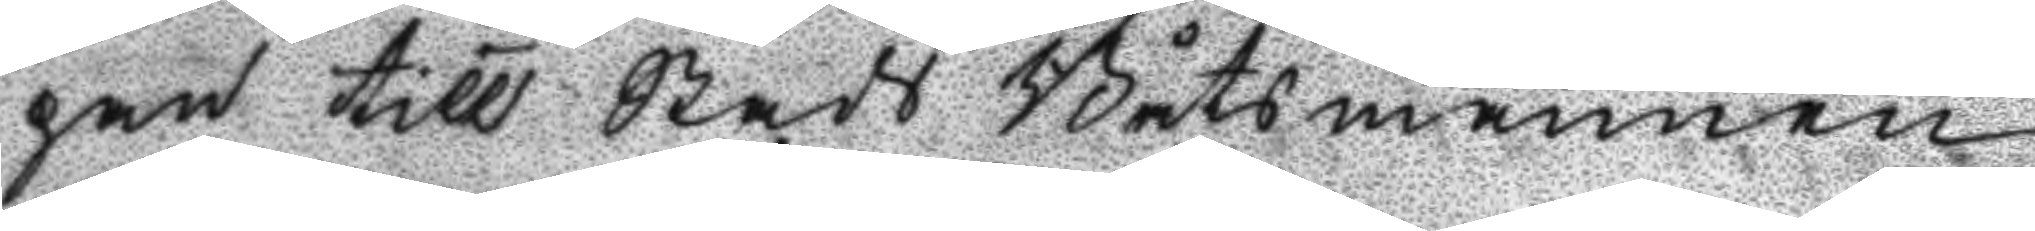pan till Stads Båtsmannen
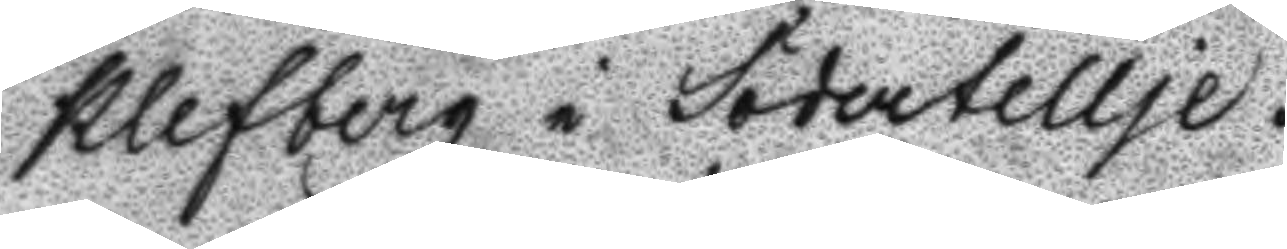Klefberg i Södertellje.
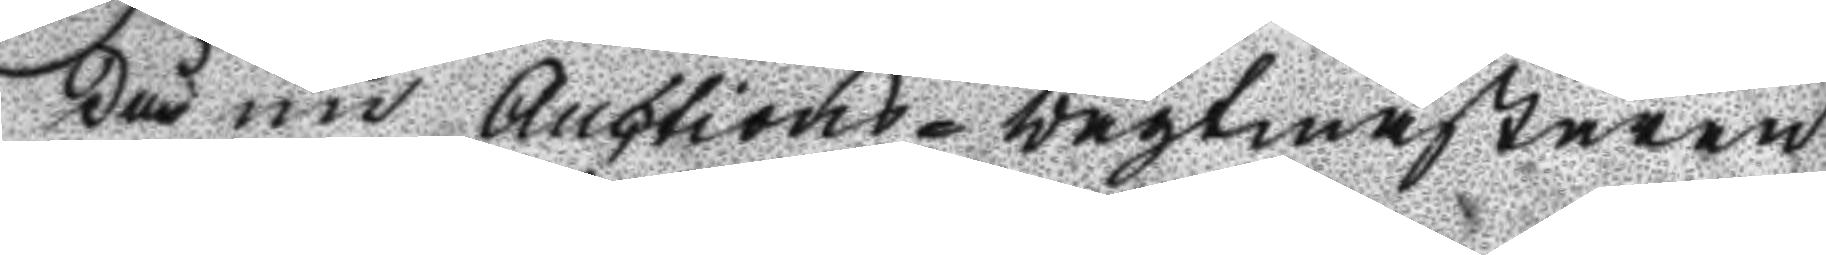Då nu Auctions-vagtmästaren
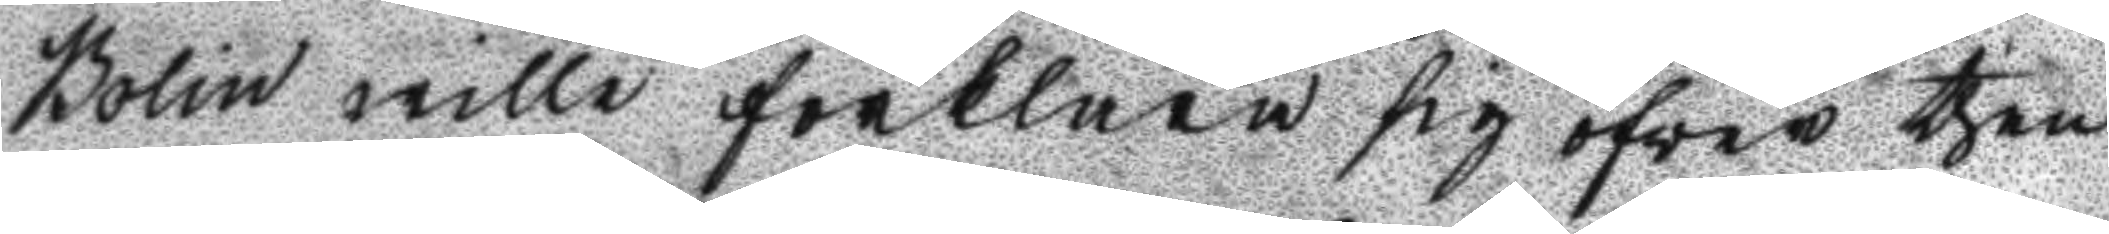Bolin wille förklara sig öfver then
